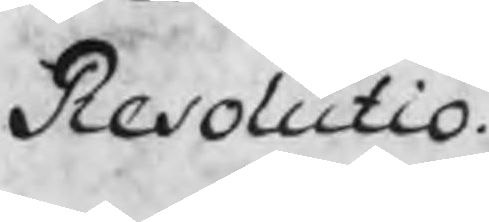Resolutio.
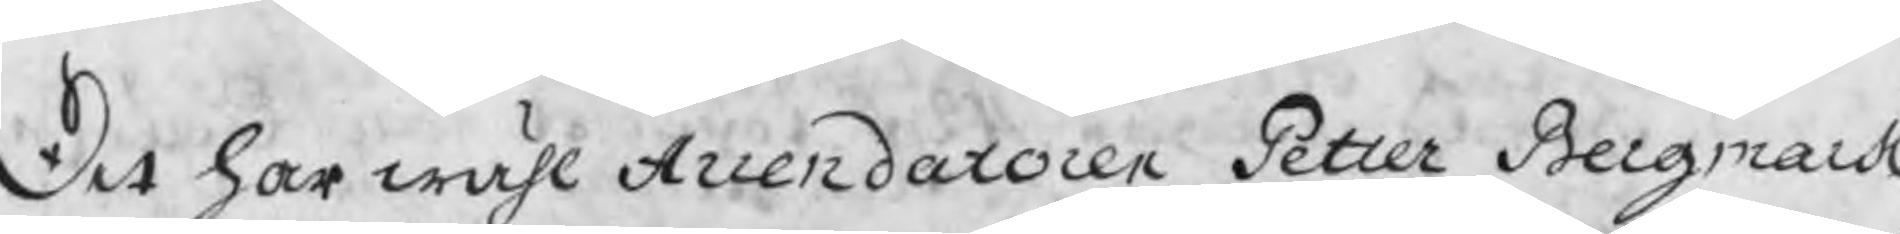Det har wähl Arrendatoren Petter Bergmark
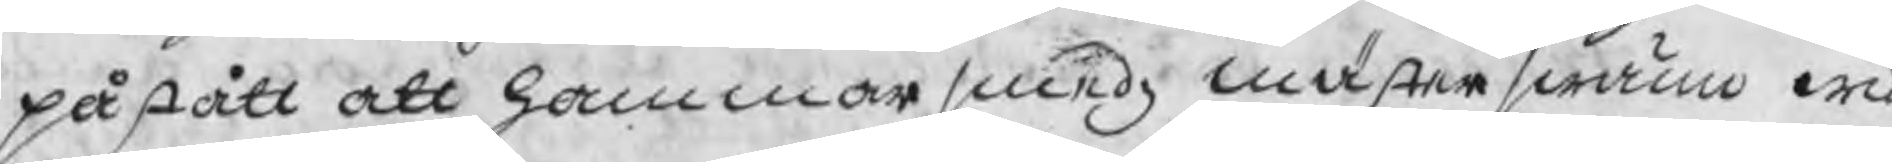påstått att hammarsmedz mästerswän wid
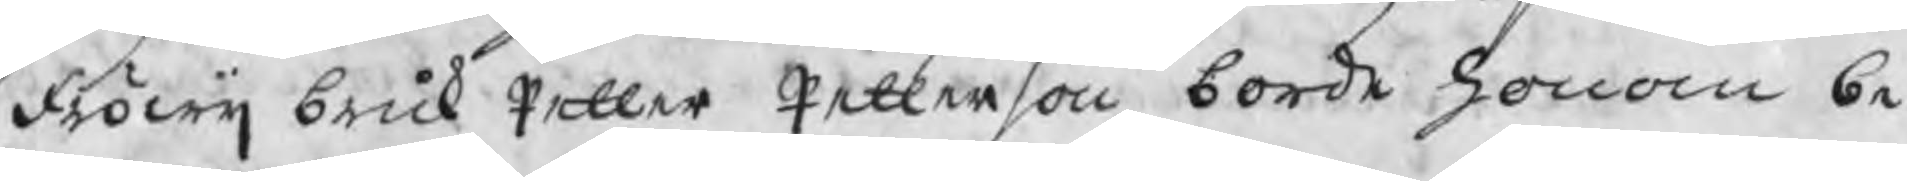Fröwij bruk Petter Petterson borde honom be
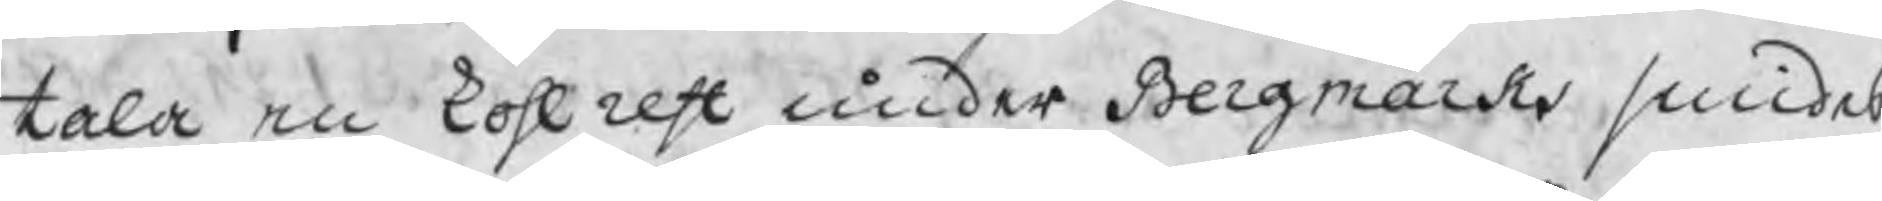tala en kohl rest under Bergmarks smides
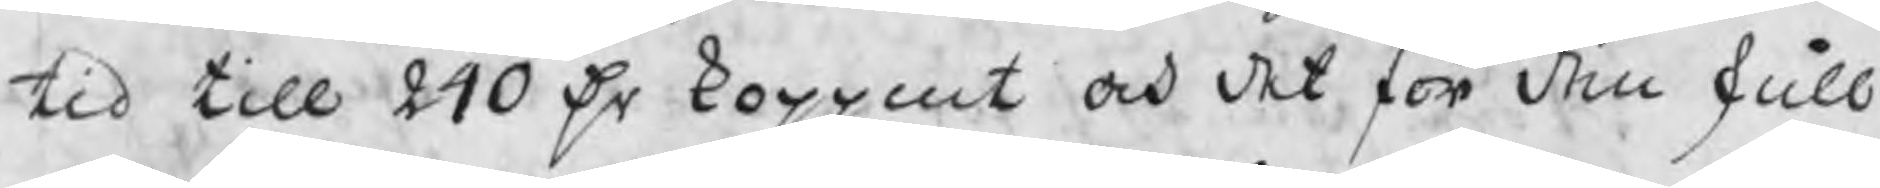tid till 240 Dr koppmt och det för den skull
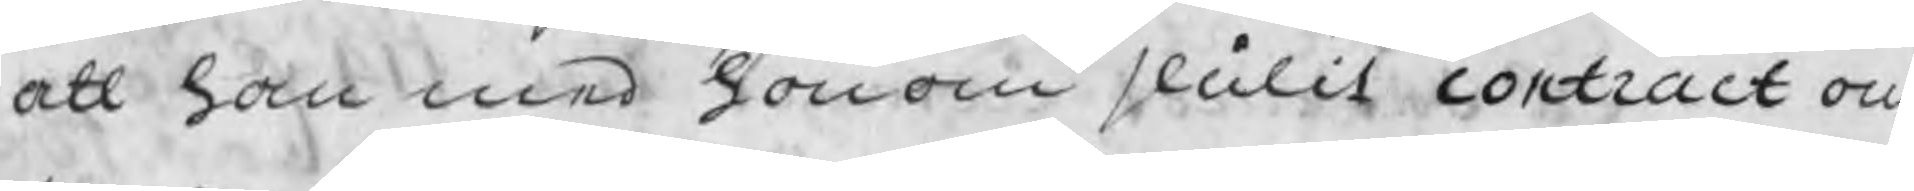att han med honom slutit contract om
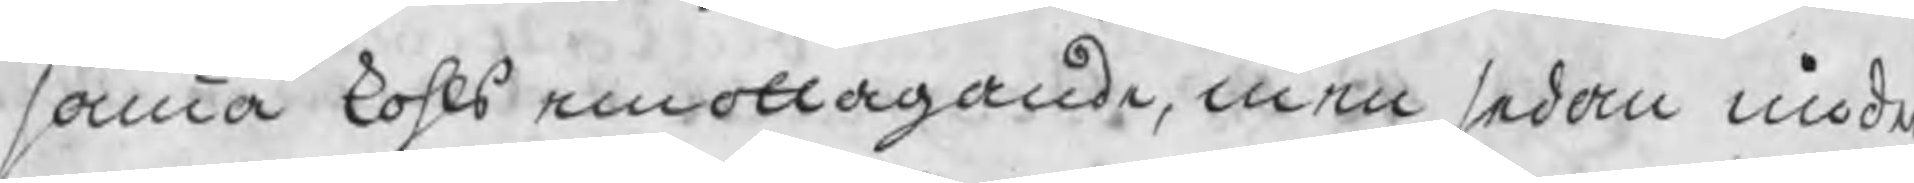samma kohls emottagande, men sedan under
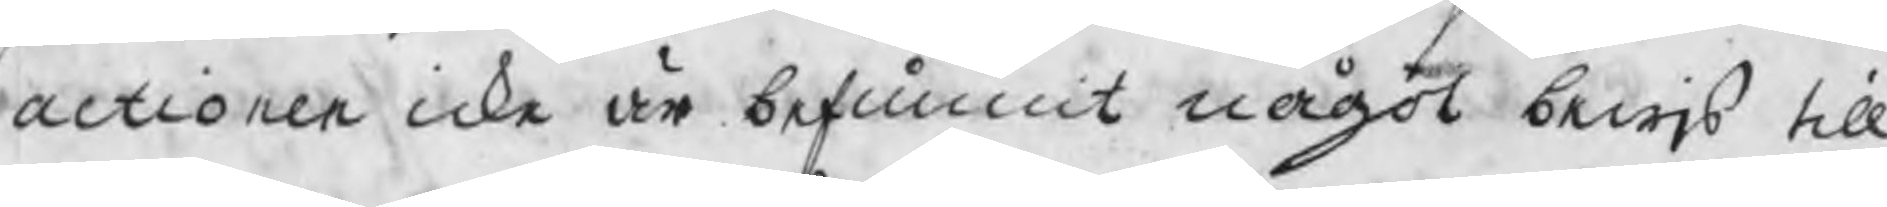actionen icke är befunnit något bewis till
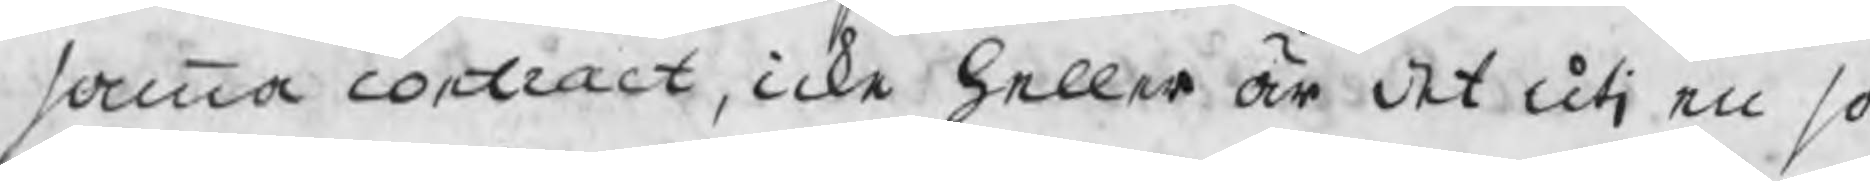samma contract, icke heller är det uti en så
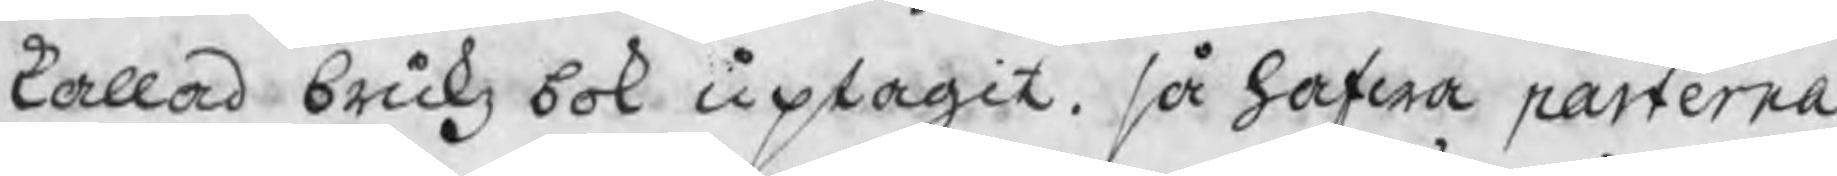kallad brukz bok uptagit. så hafwa parterna
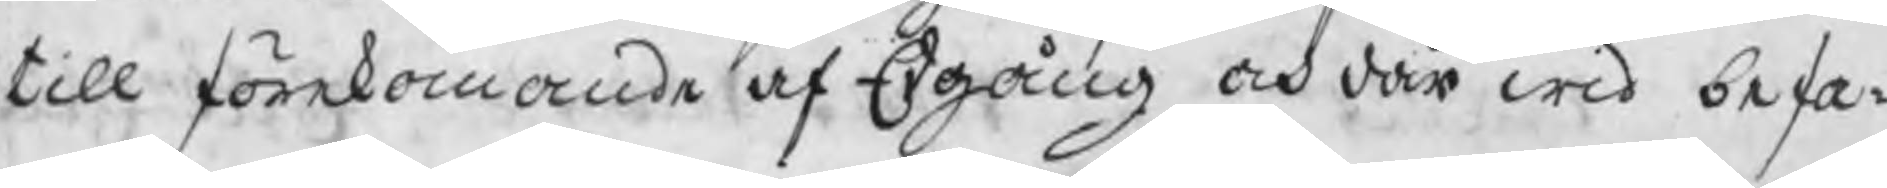till förekomande af Edgång och där wid befa¬
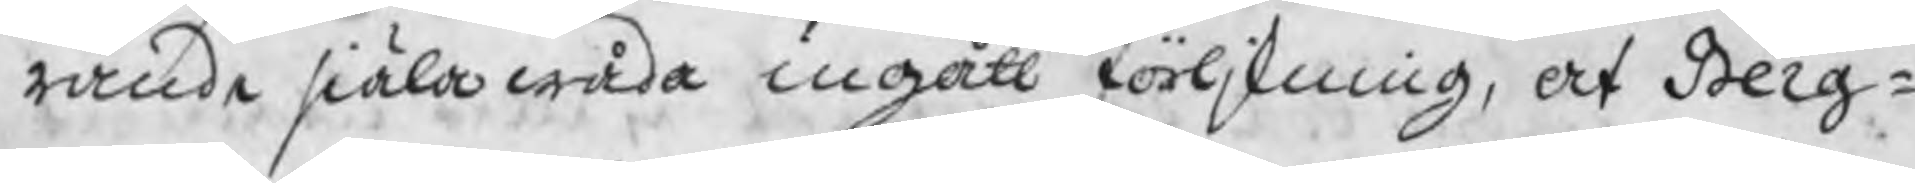rande siälawåda ingått förljkning, at Berg¬
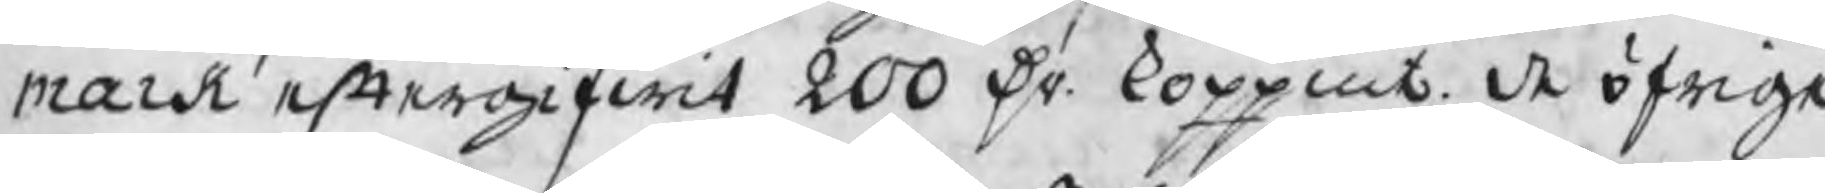mark eftergifwit 200 Dr. koppmt. de öfrige
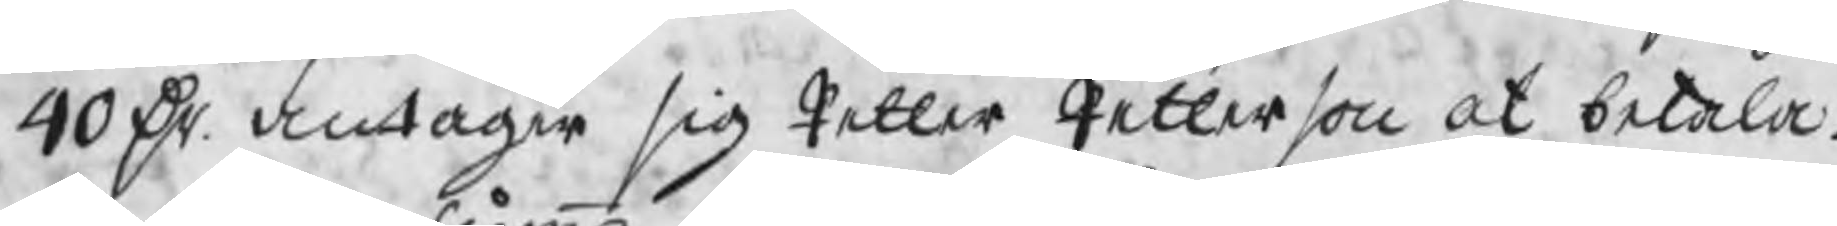40 Dr. antager sig Petter Petterson at betala.
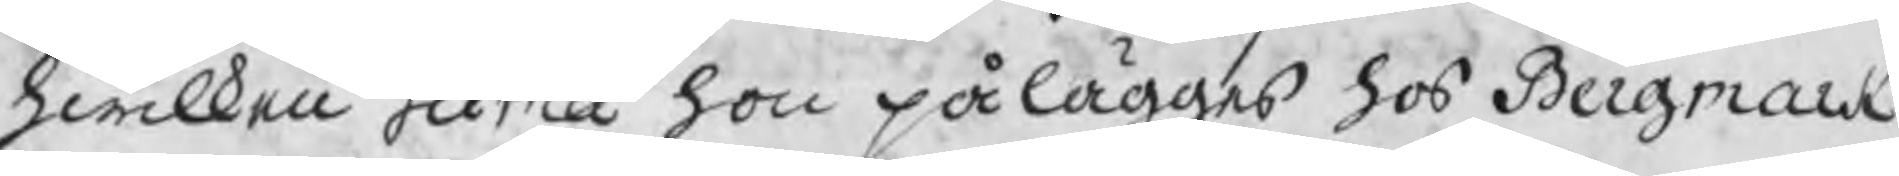hwilken summa hon pålägges hos Bergmark
